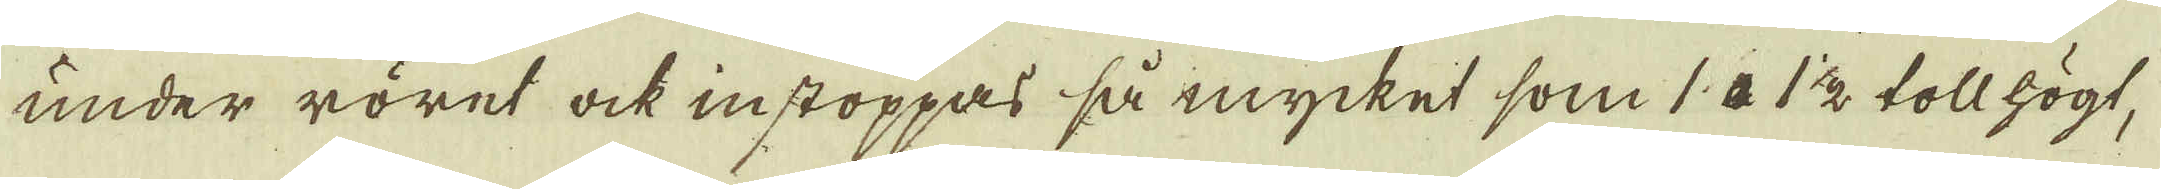under röret ock instoppas så mycket som 1 a 1½ toll högt,
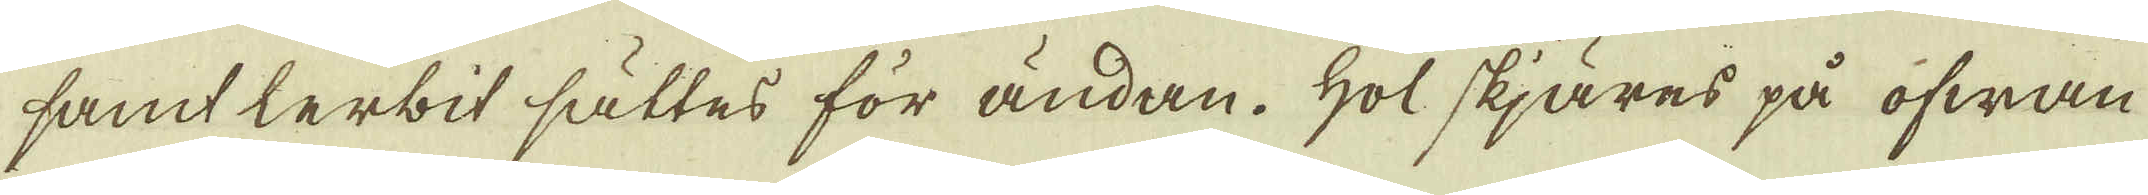samt lerbit sättes för ändan. Hol skjäres på ofwan-
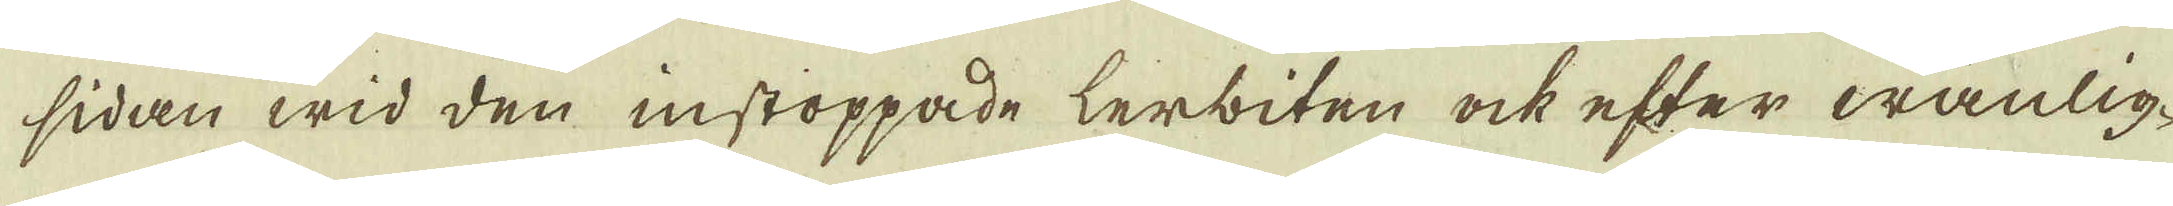sidan wid den instoppade lerbiten ock efter wanlig-
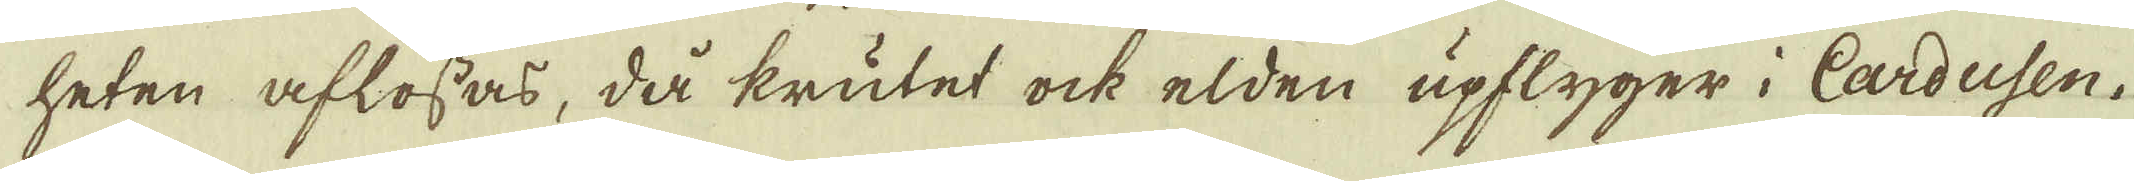heten aflossas, då krutet ock elden upflyger i Cardusen.
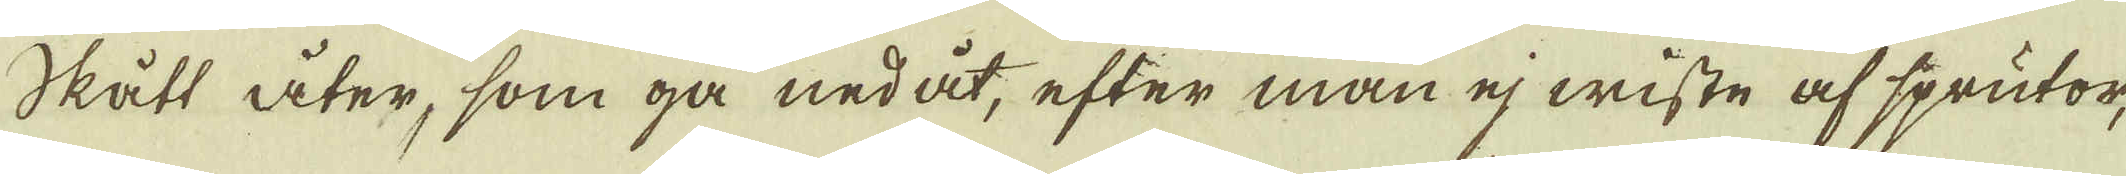Skått åter, som gå nedåt, efter man ej wiste af sprutor,
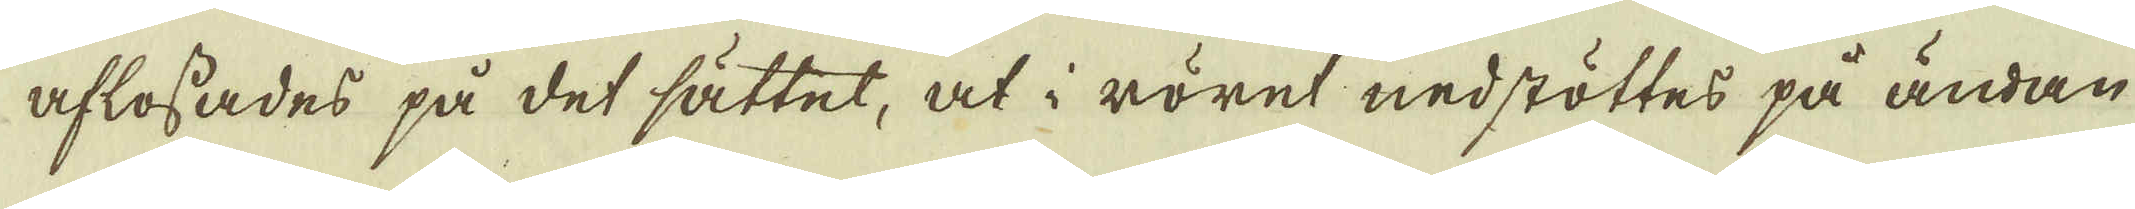aflossades på det sättet, at i röret nedstöttes på ändan
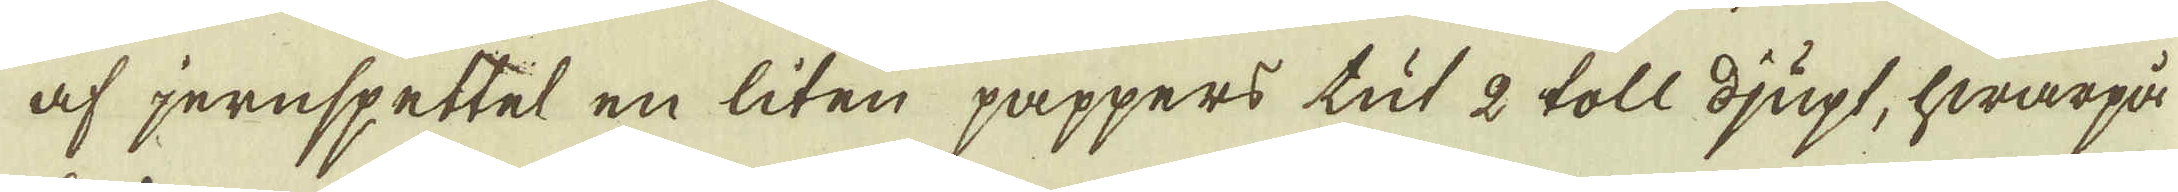af jernspettet en liten pappers tut 2 toll djupt, hwarpå
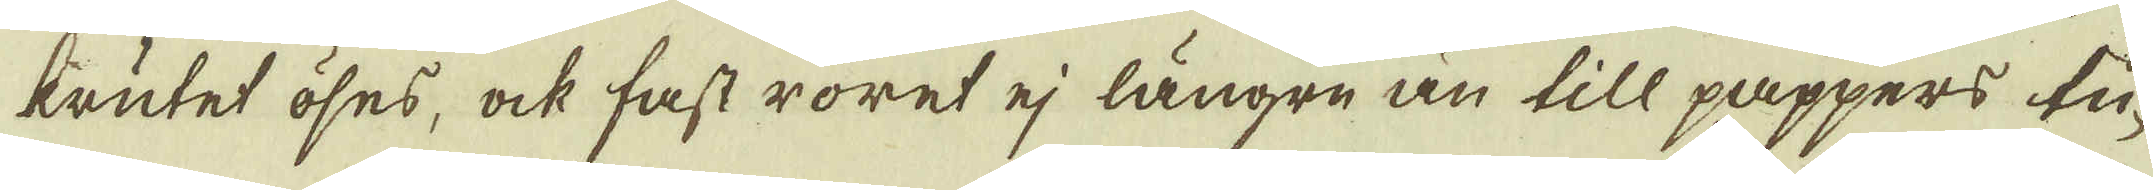krutet öses, ock fast röret ej längre än till pappers tu-
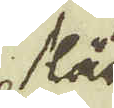står
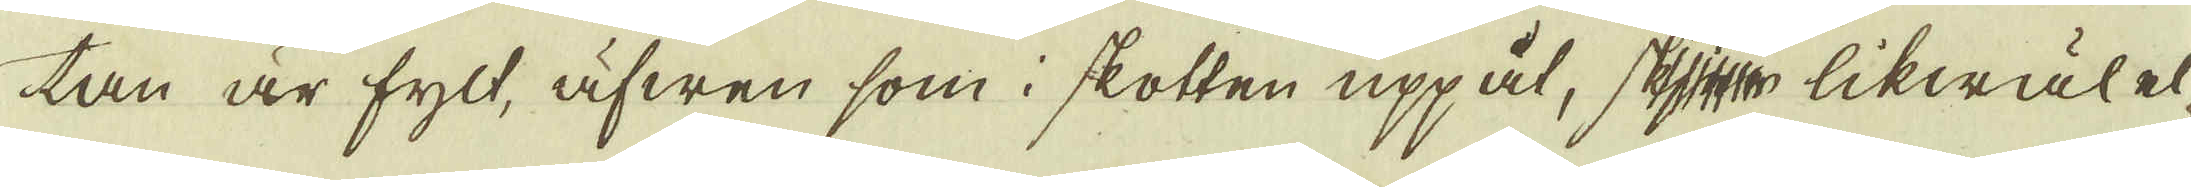tan är fylt, äfwen som i skotten uppåt, skjer likwäl el-
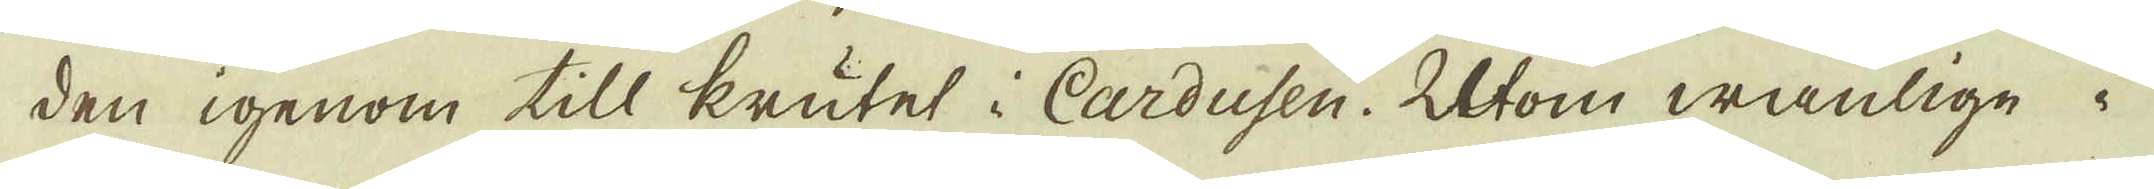den igenom till krutet i Cardusen. Utom wanlige i
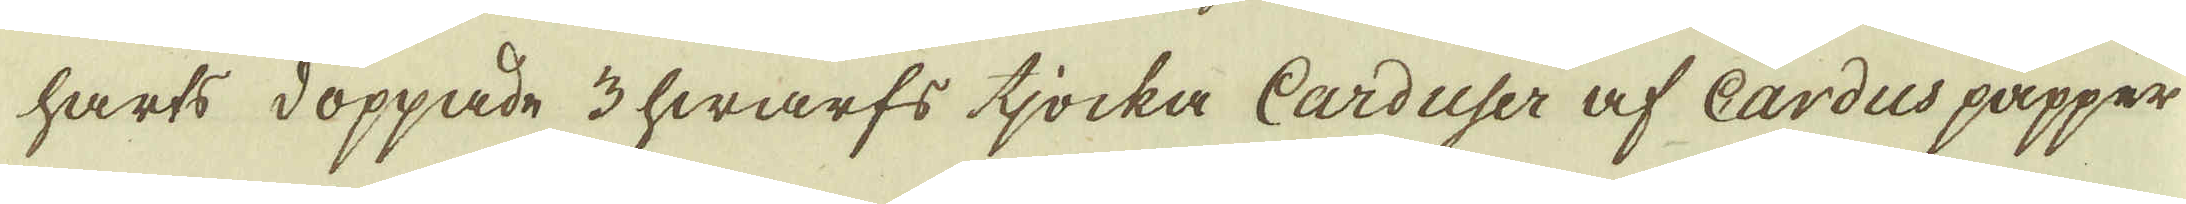harts doppade 3 hwarfs tjocka Carduser af Cardus papper
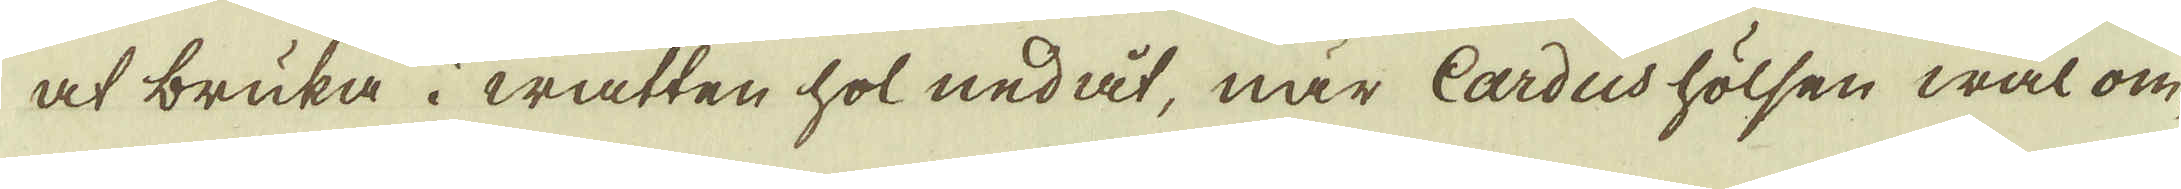at bruka i watten hol nedåt, när Cardus hölsen wäl om-
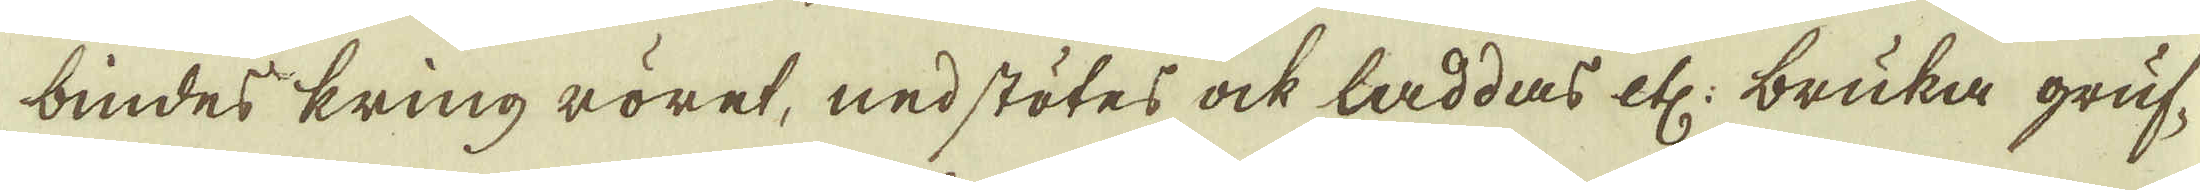bindes kring röret, nedstötes ock laddas etc: bruka gruf-
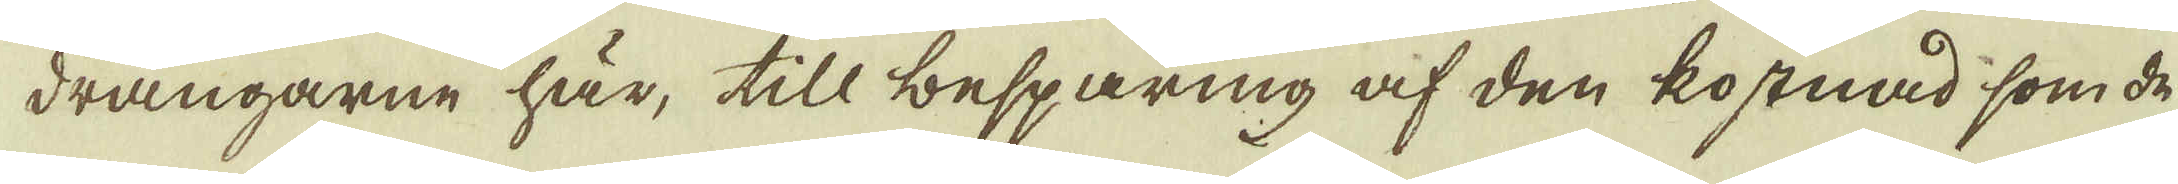drängarne här, till besparing af den kostnad som de
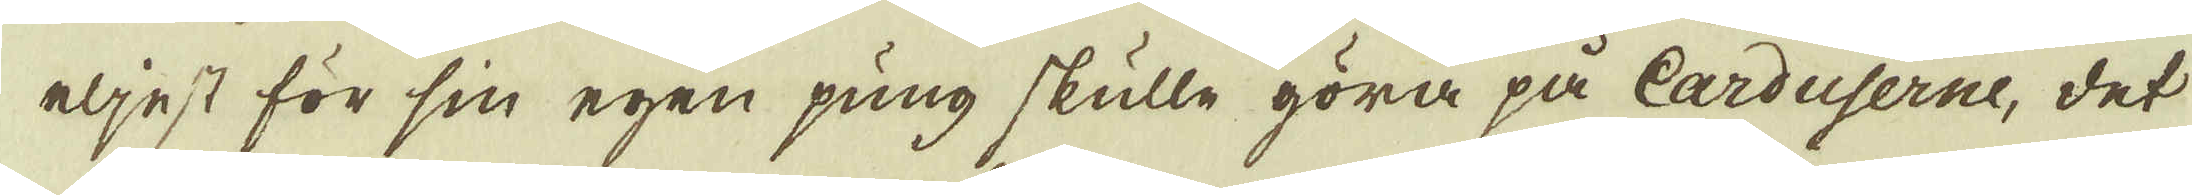eljest för sin egen pung skulle göra på Carduserne, det
